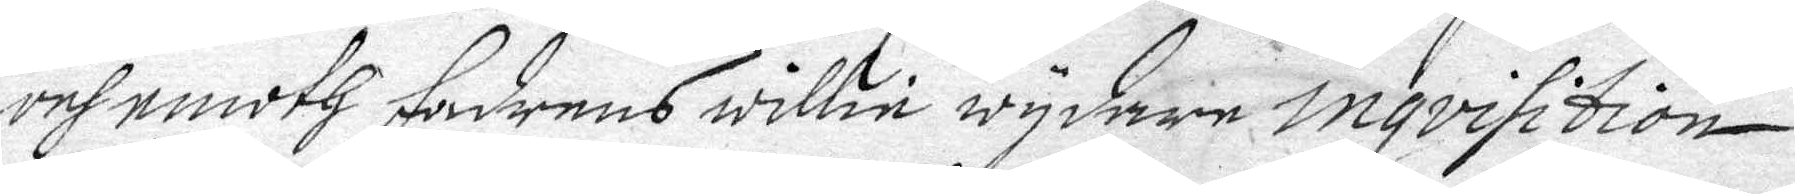och emoth faderns willie wydare inqvisition
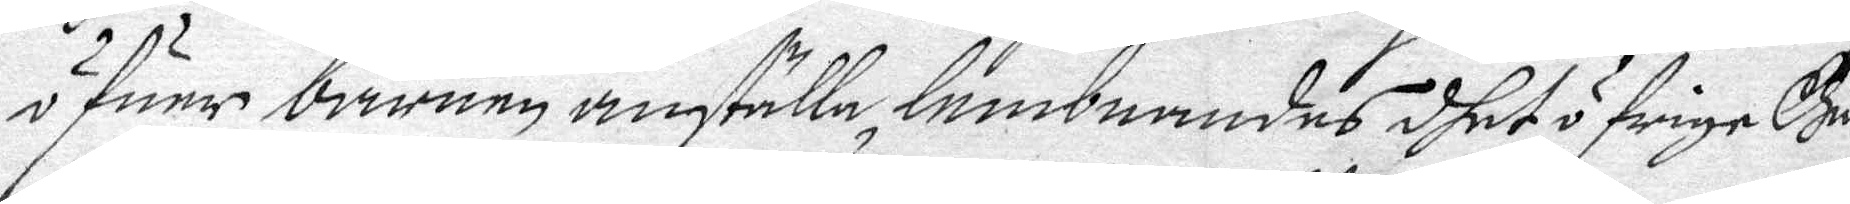öfuer barnen anställa lembnandes dhet öfrige Gu..
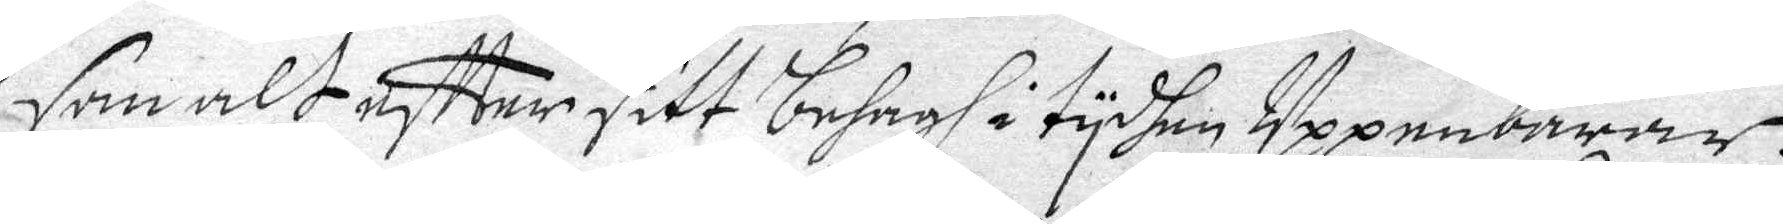som alt effter sitt behagh i tydhen Uppenbarar.
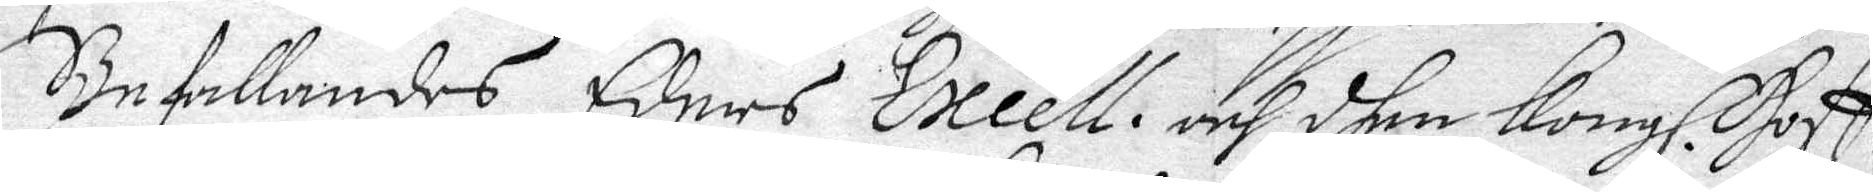Befallandes Eders Excell. och dhen Kongl. Hoff¬
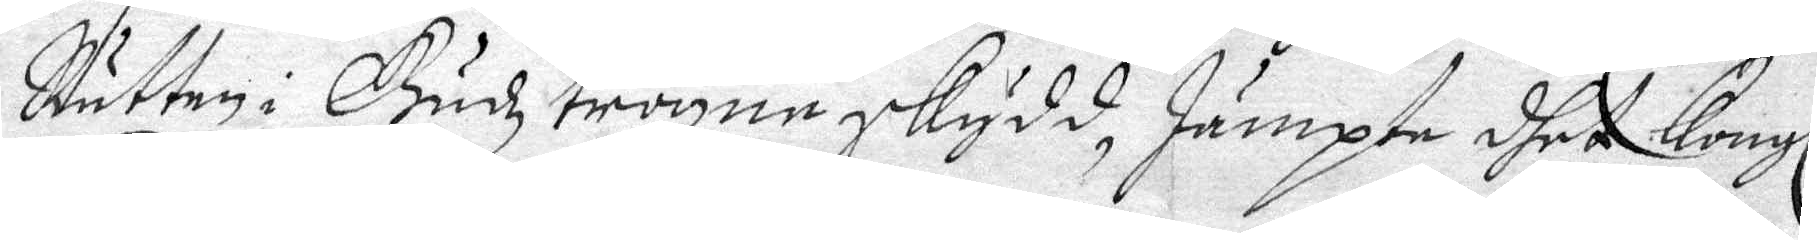Rätten i Gudz trogne skydd, Jämpte dhet Kongl.
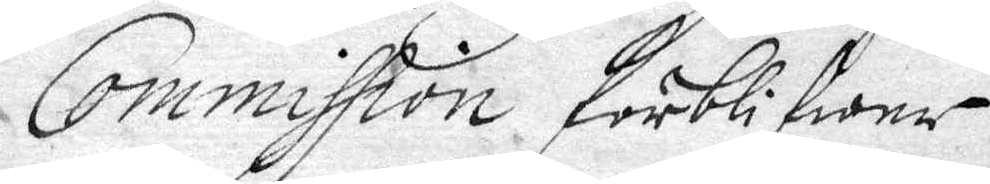Commission förblifwer.
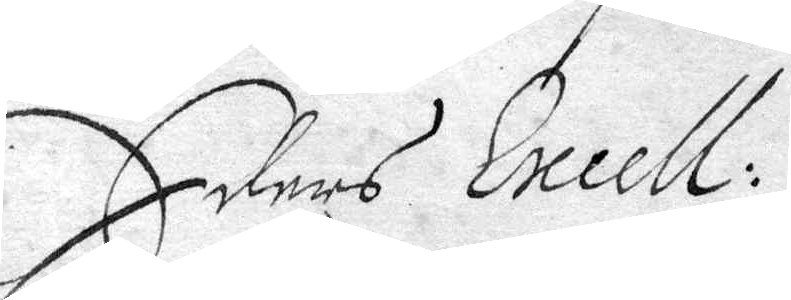Eders Excell:
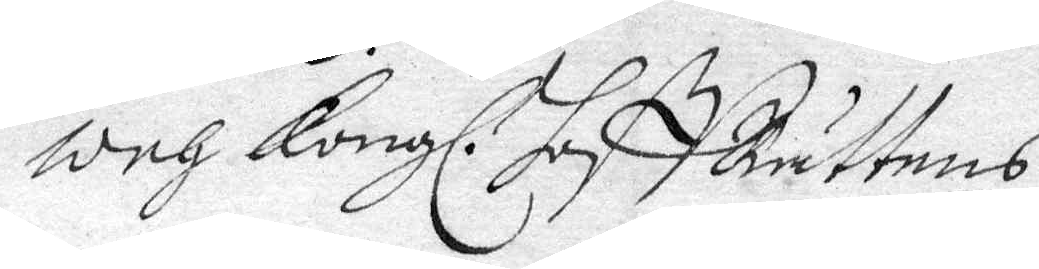och Kongl. HoffRättens
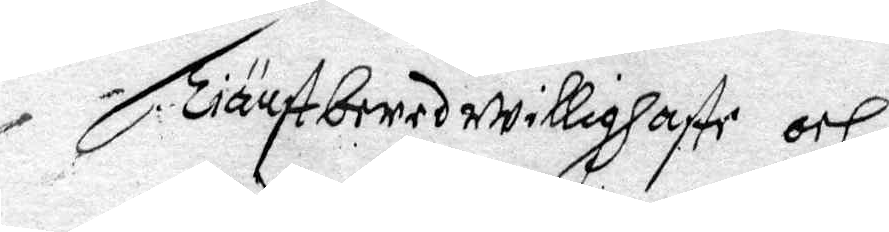Tjänstberedwillighste och
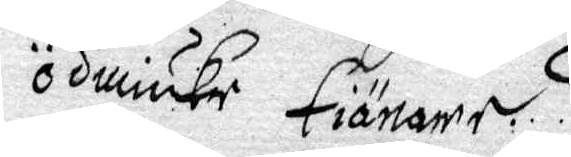ödmiuke Tiänare.
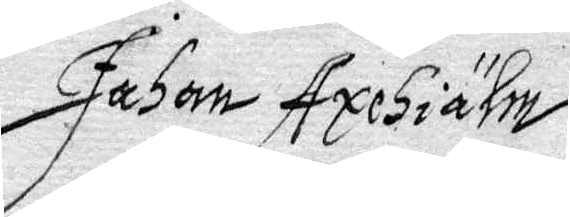Johan Axehiälm
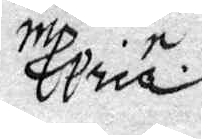.....
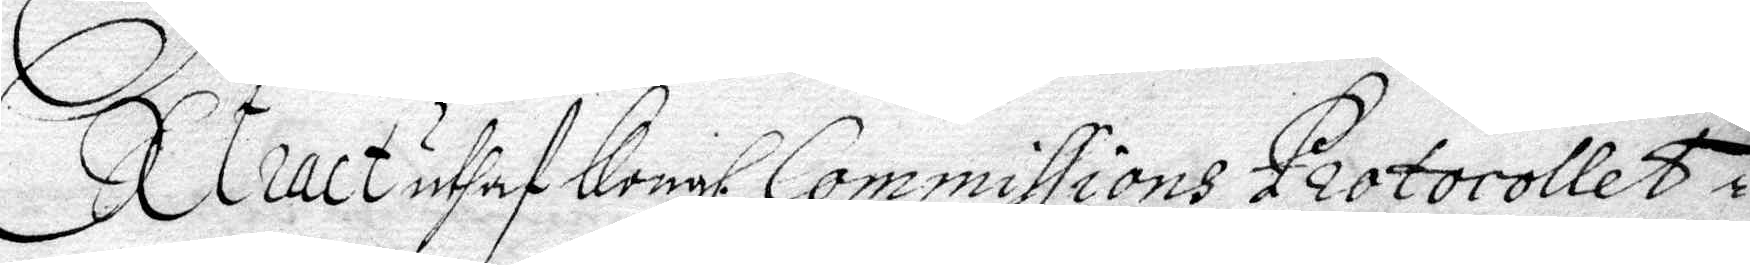Extract uthaf Kongl. Commissions Protokollet i 
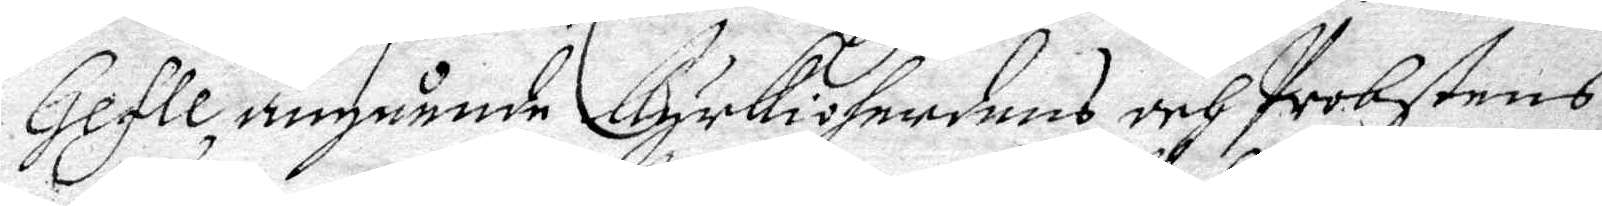Gefle, angående Kyrkioherdens och Probstens
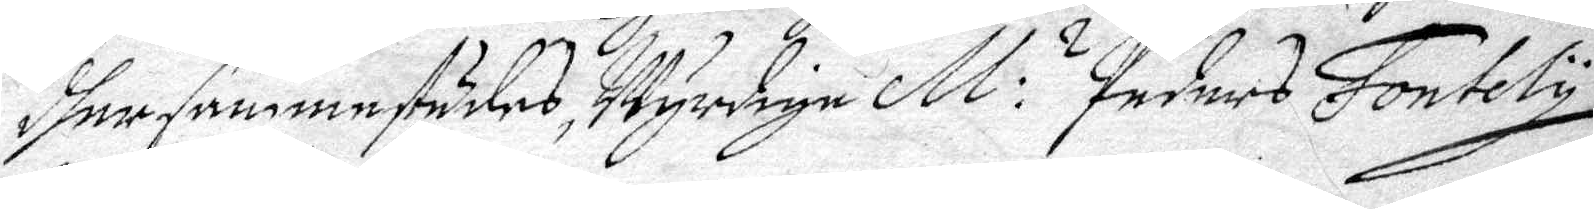dhersammestädes Wyrdige M. s Peders Fontely
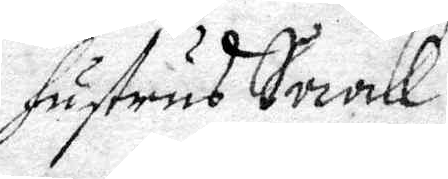hustrus Saak.
